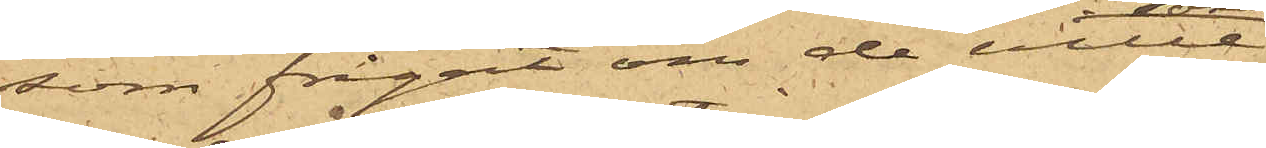som frågat om de ville
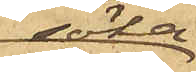söka
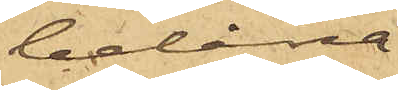belåna
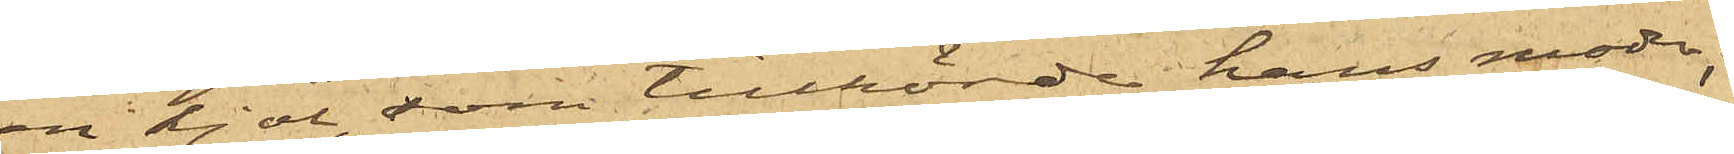en kjol, som tillhörde hans moder;
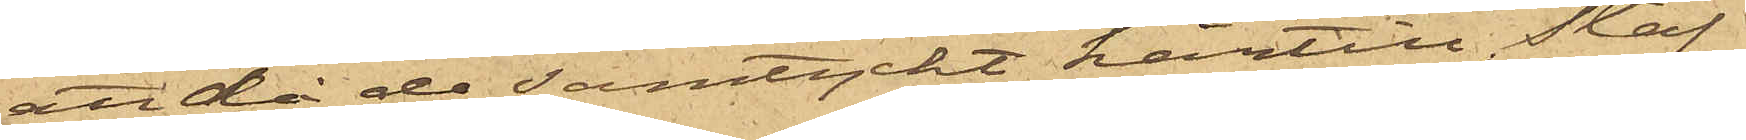att då de samtyckt härtill, Staf
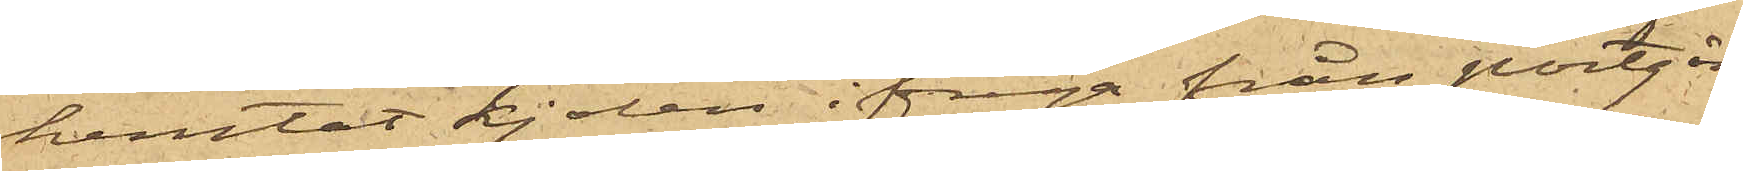hemtat kjolen ifråga från portgån¬
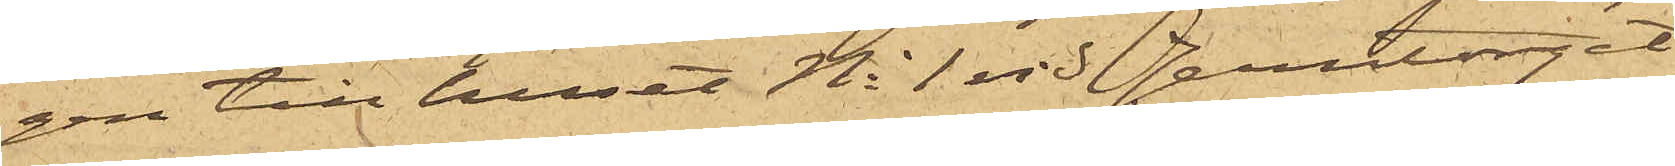gen till huset No 1 vid Jerntorget;
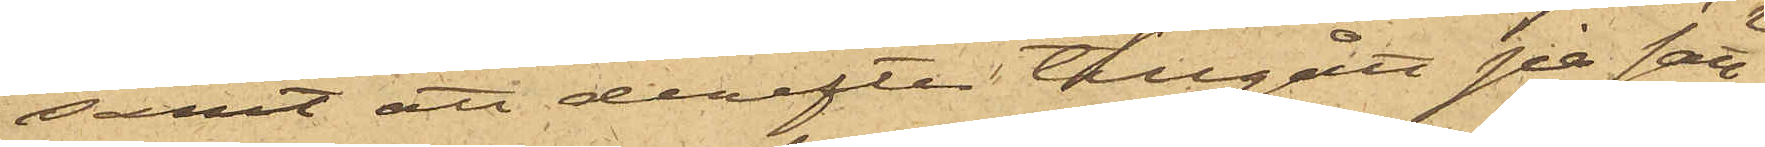samt att derefter tillgått på sätt
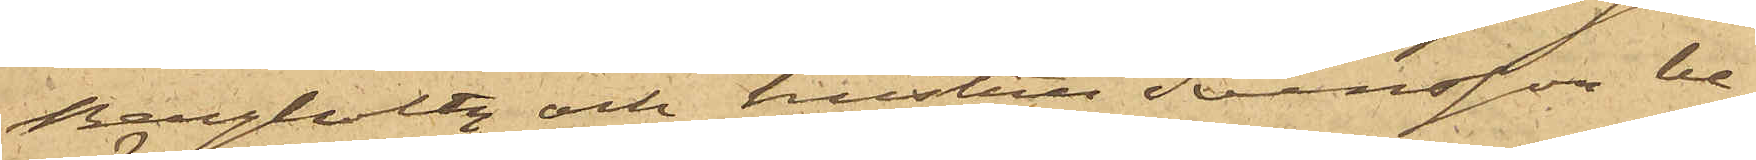Bergholtz och hustru Svensson be¬
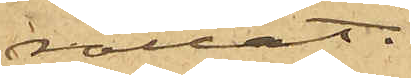rättat.
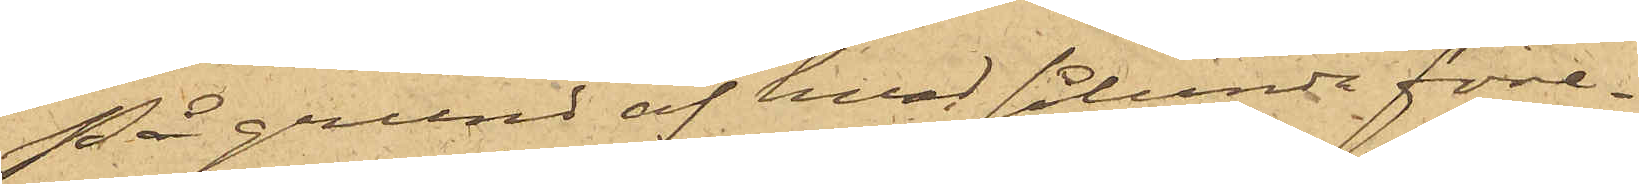På grund af hvad sålunda före¬
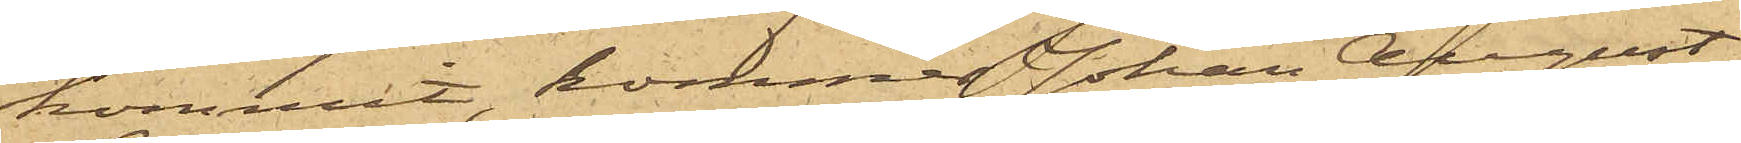kommit, kommer Johan August
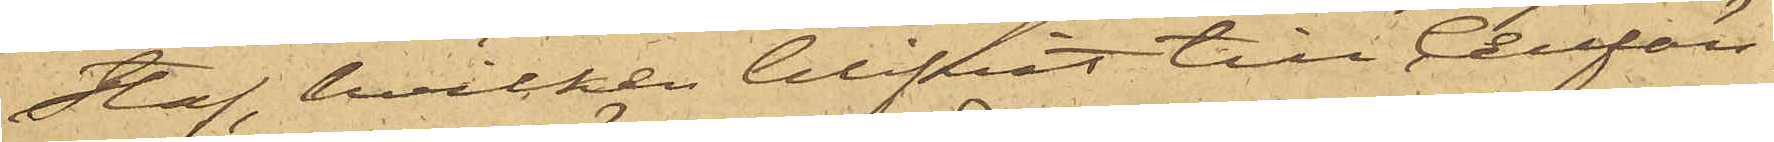Staf hvilken blifvit till Cellfän¬
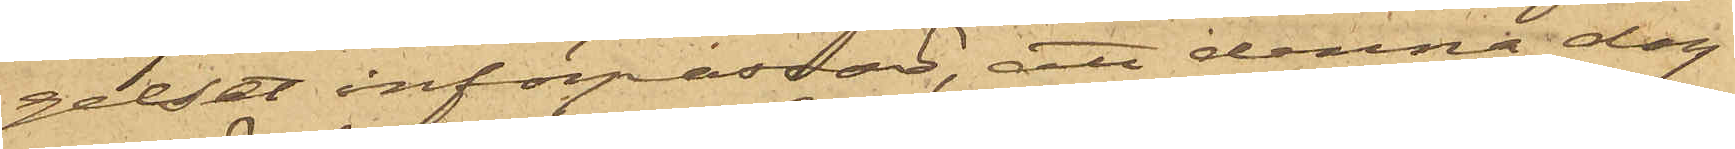gelset införpassad, att denna dag
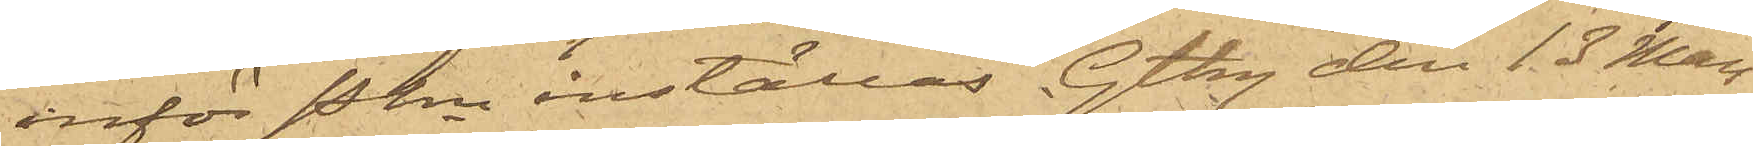inför Pkn inställas. Gtbg den 13 Mars
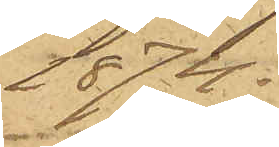1874.
